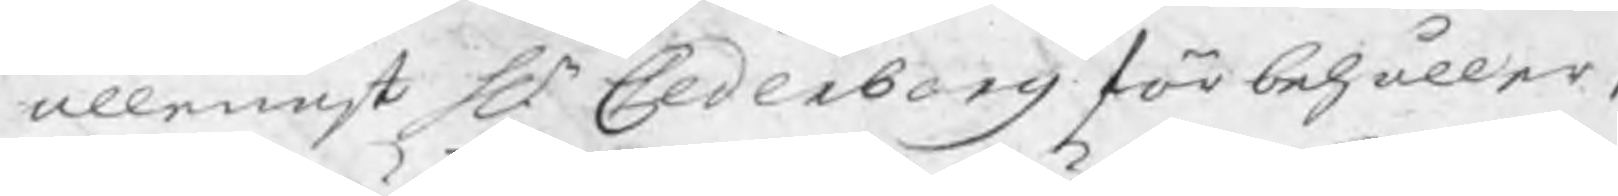allenast Hr Cederborg förbehåller s
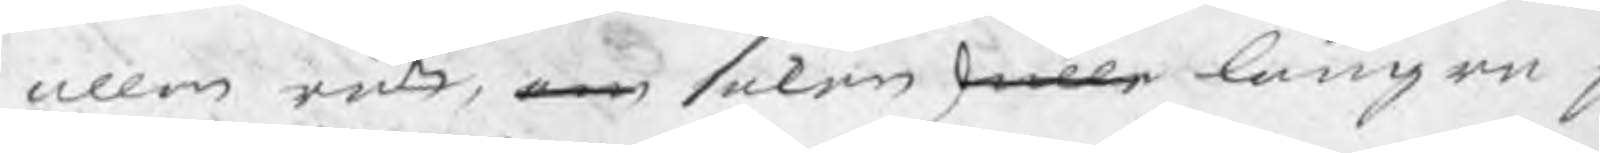allen rätt, om saken skulle längre p
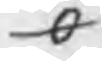O
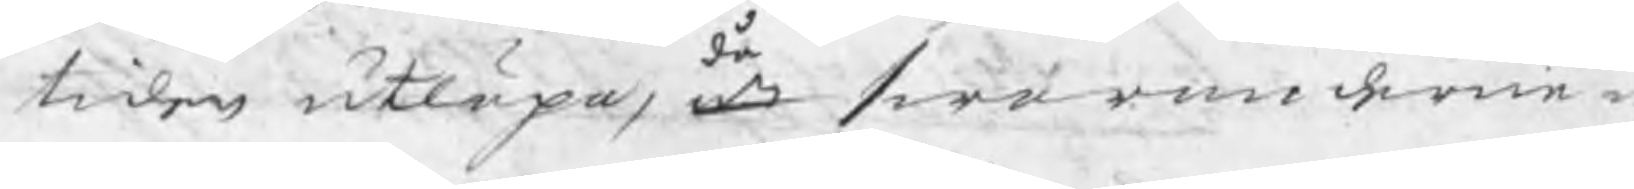tiden utlöpa, att swaranderne
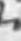då
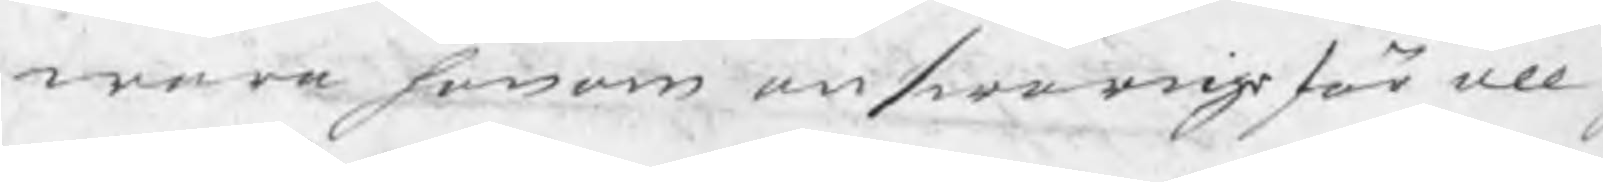wara honom answarige för all g
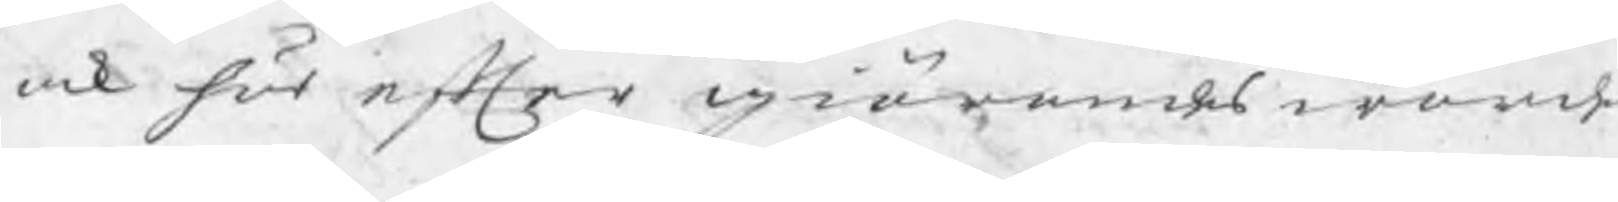ock här efter giörandes ward
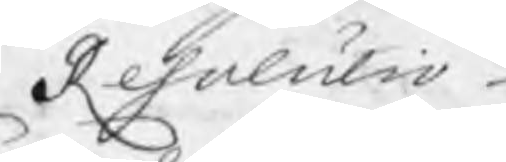Resolutio
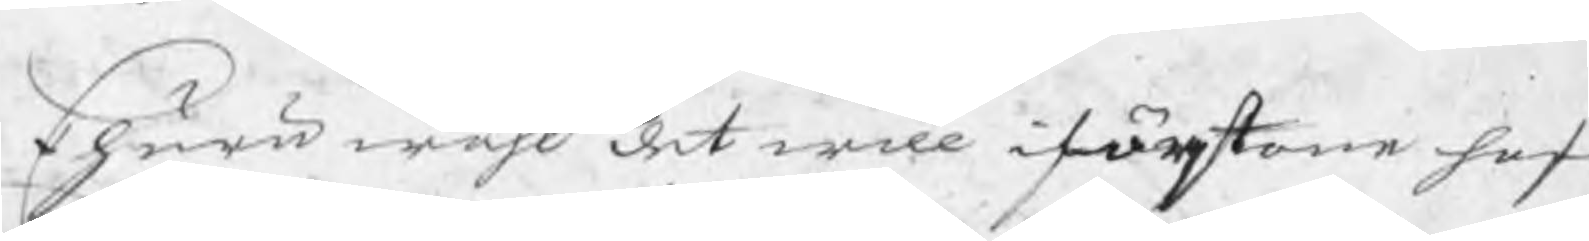Ehuru wähl det will iförstone haf
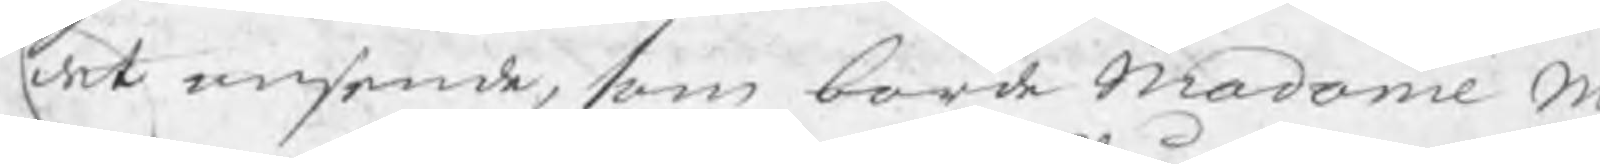det ansende, som borde Madame M
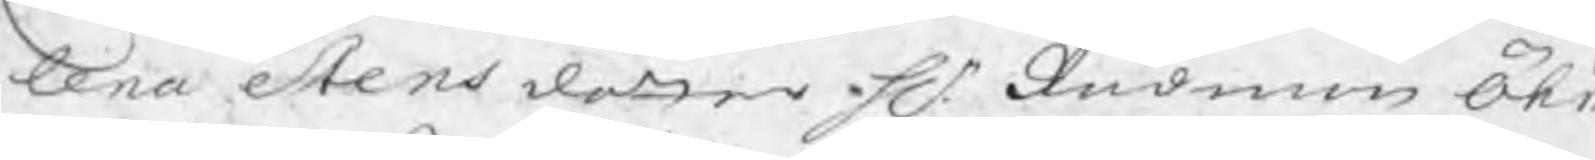lena Stensdotter Hr Rådman Öh
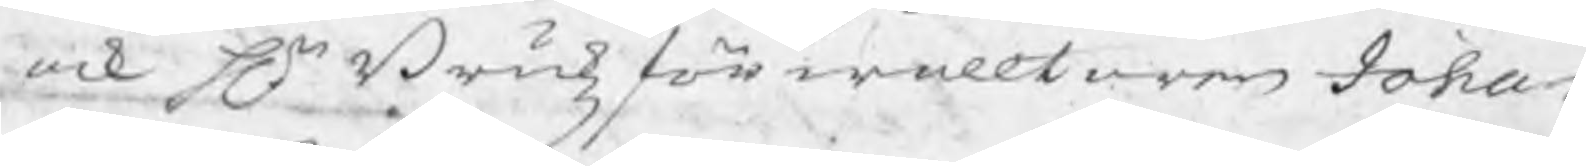ock Hr Brukzförwaltaren Johan
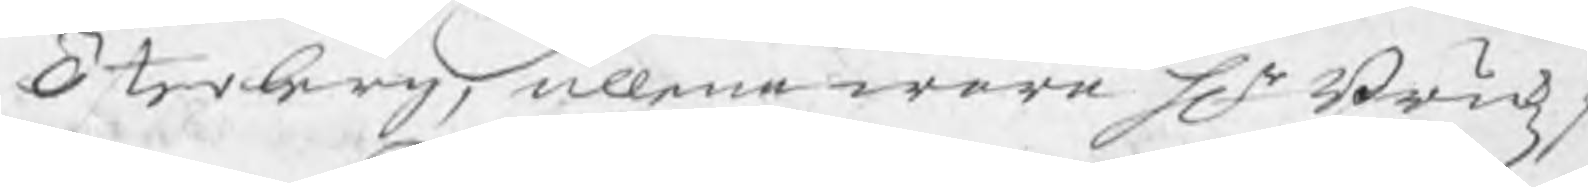Österberg, allena wara Hr Brukzp
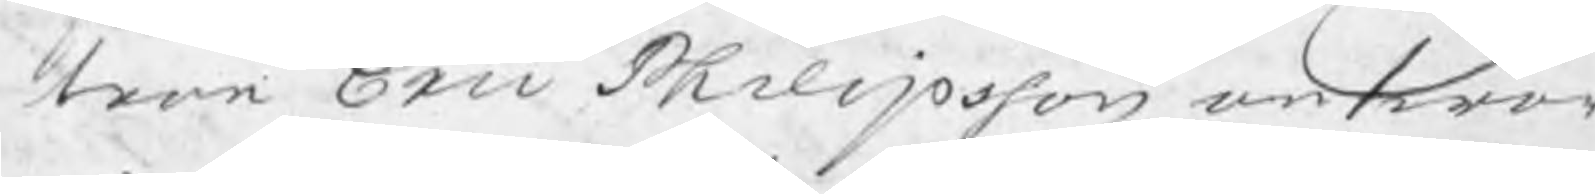tron Eric Philipsson answar
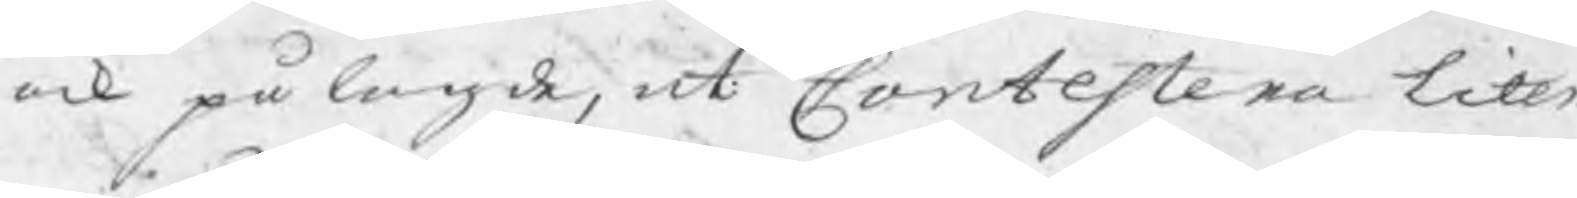ock pålagde, at Contestera liten
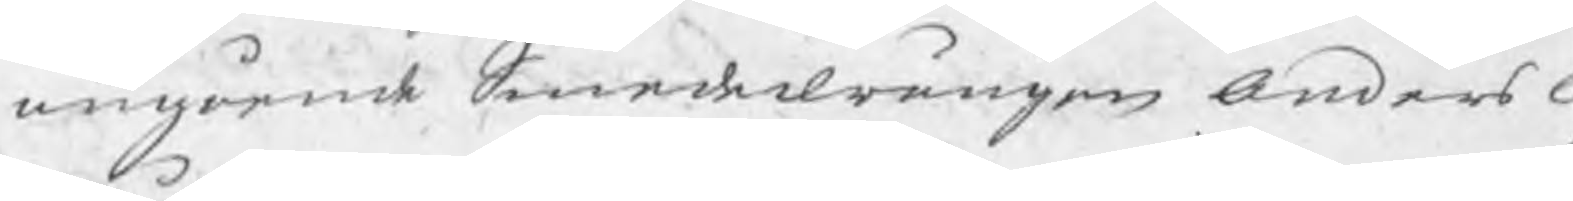angående Smedsdrängen Anders O
